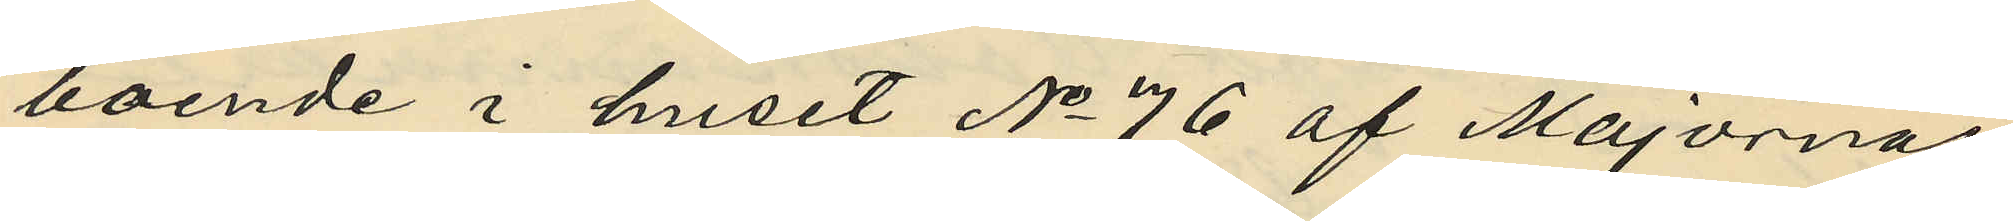boende i huset No 76 af Majornas
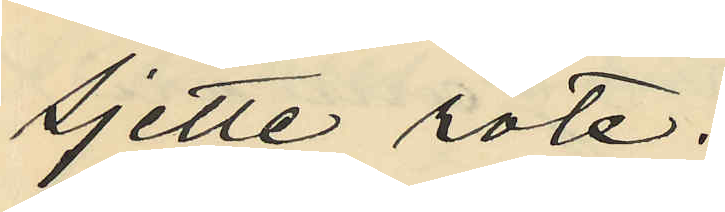Sjette rote.
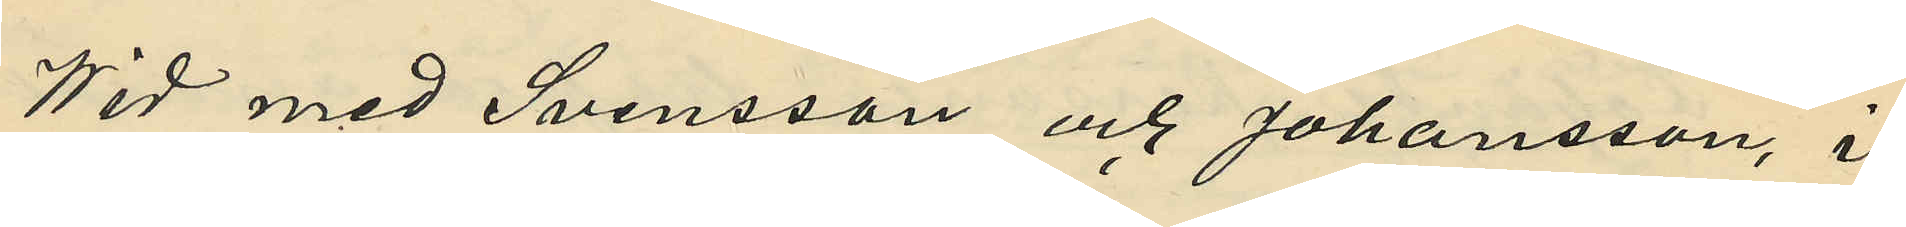Vid med Svensson och Johansson, i
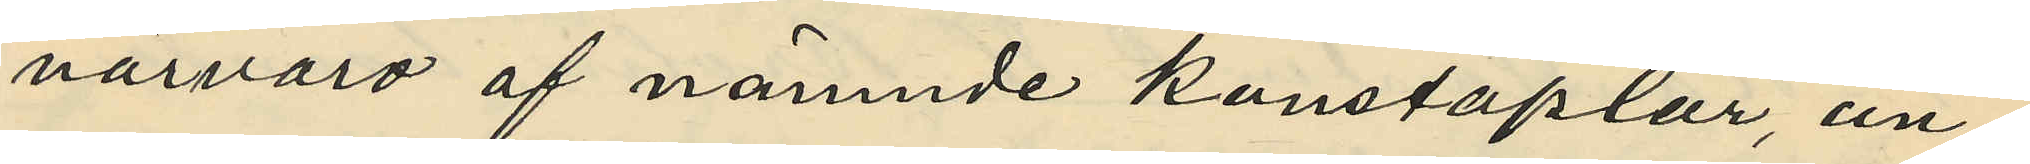närvaro af nämnde konstaplar, an¬
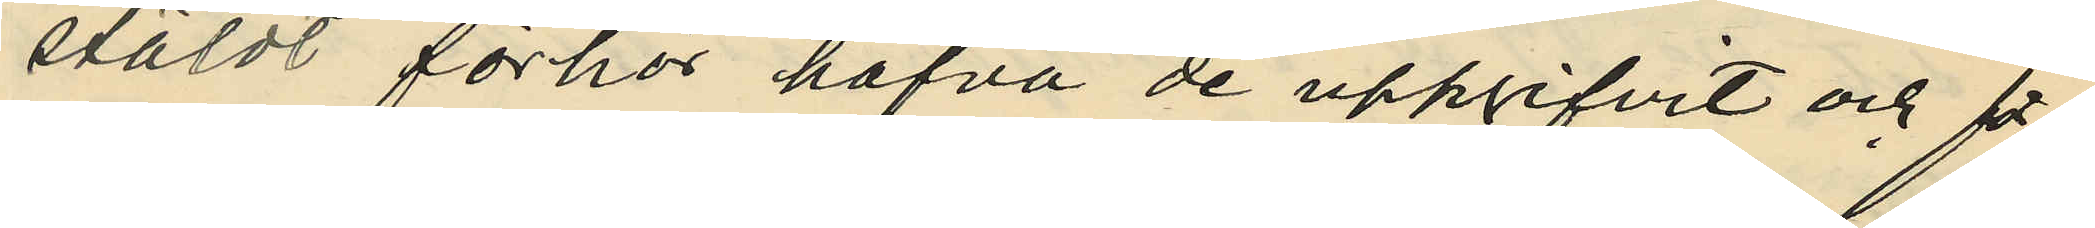stäldt förhör hafva de uppgifvit och för¬
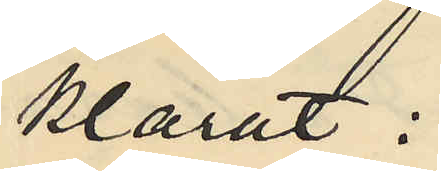klarat:
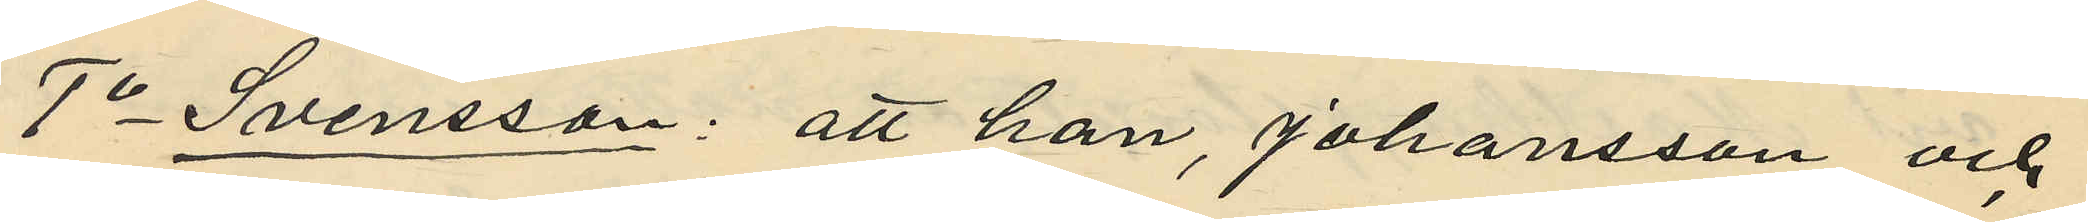1o Svensson: att han, Johansson och
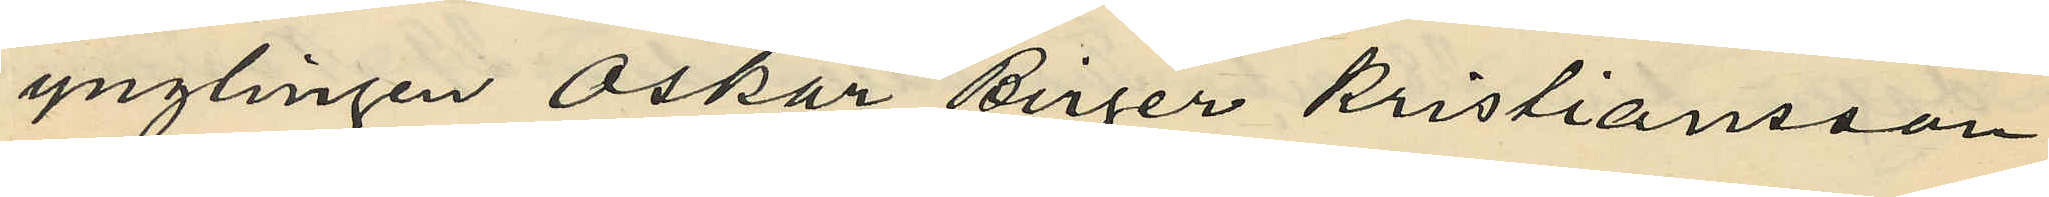ynglingen Oskar Birger Kristiansson
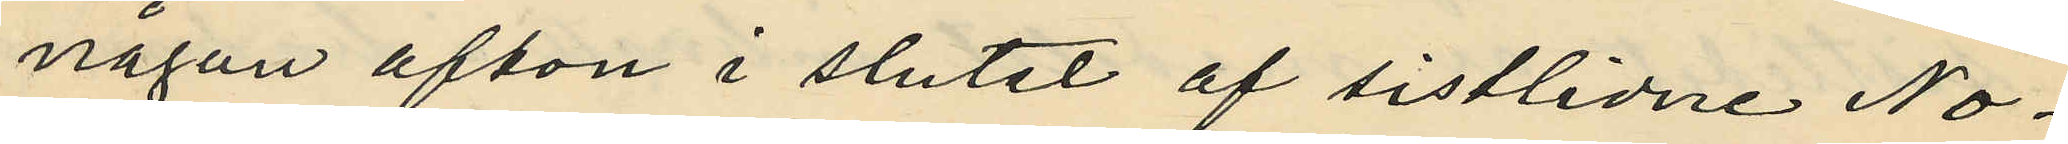någon afton i slutet af sistlidne No¬
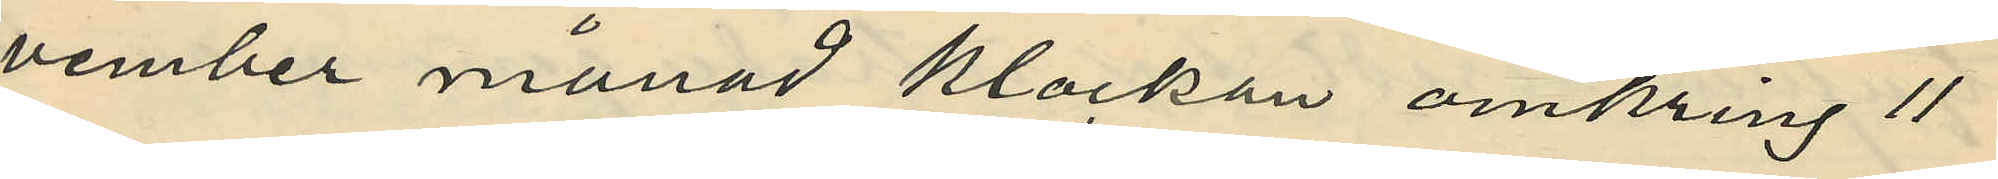vember månad klockan omkring 11
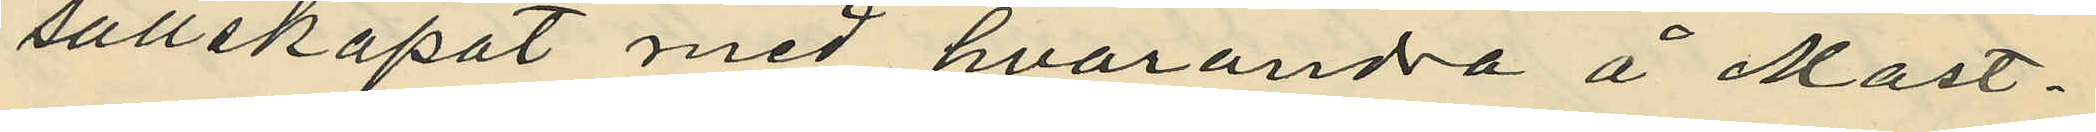sällskapat med hvarandra å Mast¬
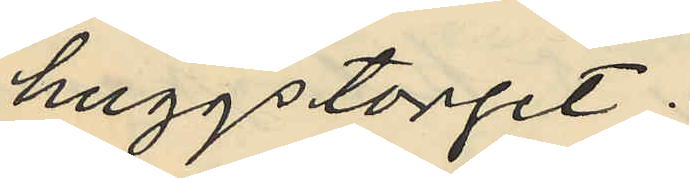huggstorget;
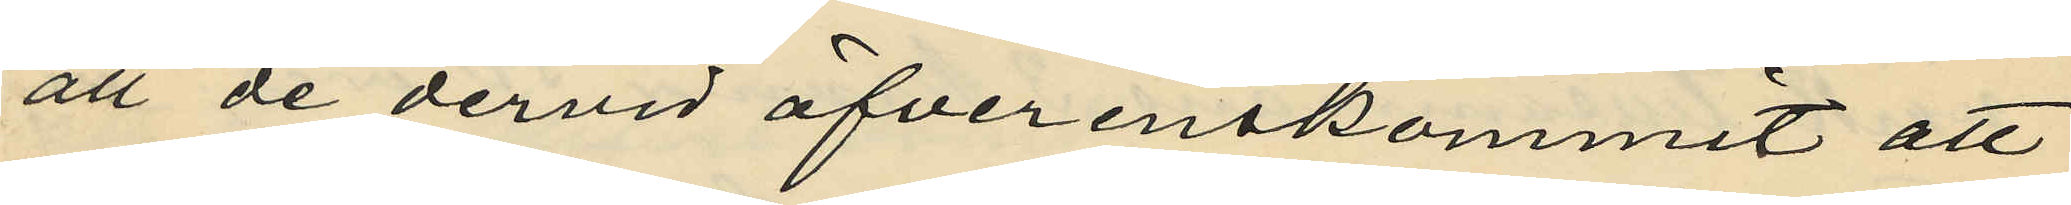att de dervid öfverenskommit att
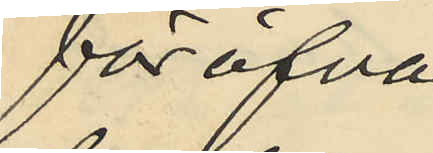föröfva
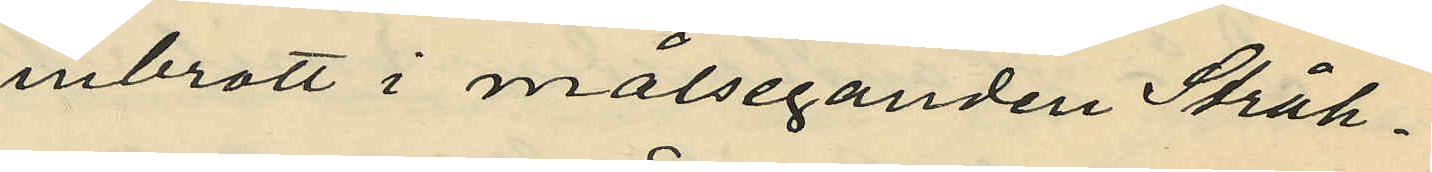inbrott i målseganden Stråh¬
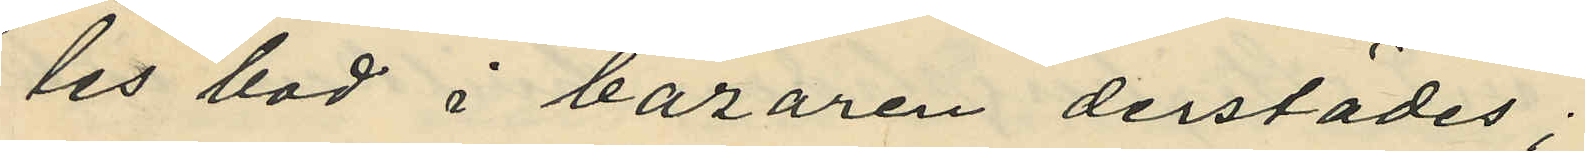les bod i bazaren derstädes;
